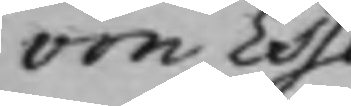von Essen
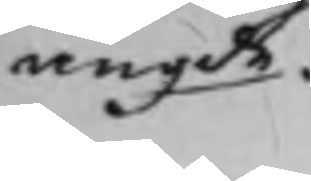angde.
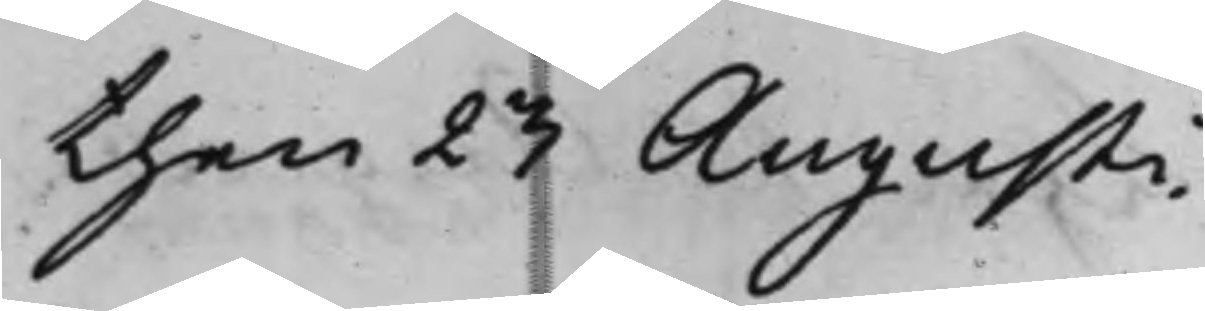then 23 Augusti.
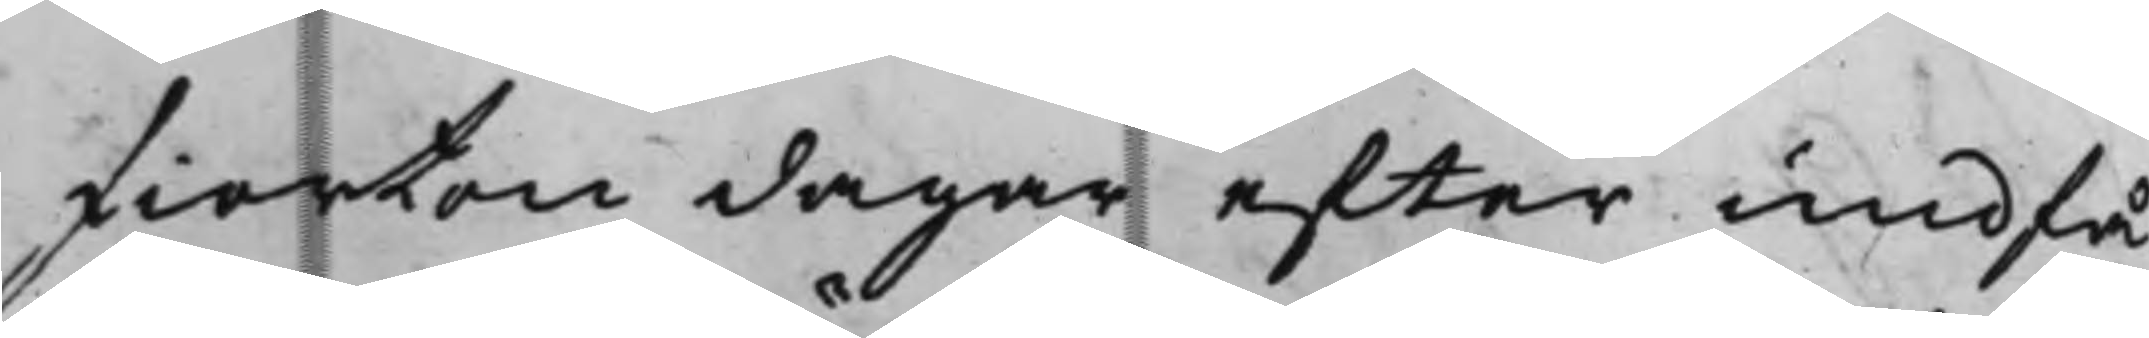fiorton dagar efter undfå¬
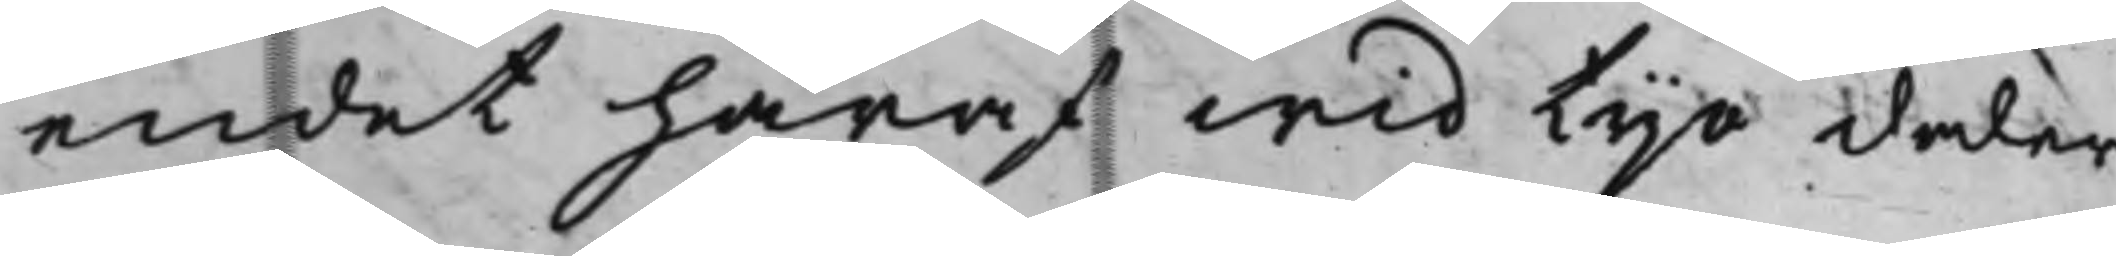endet häraf wid tijo daler
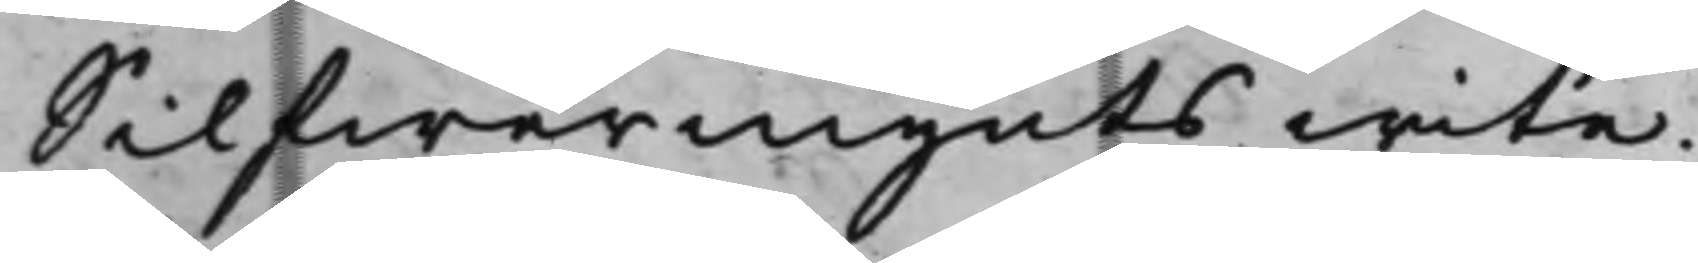Silfwermynts wite.
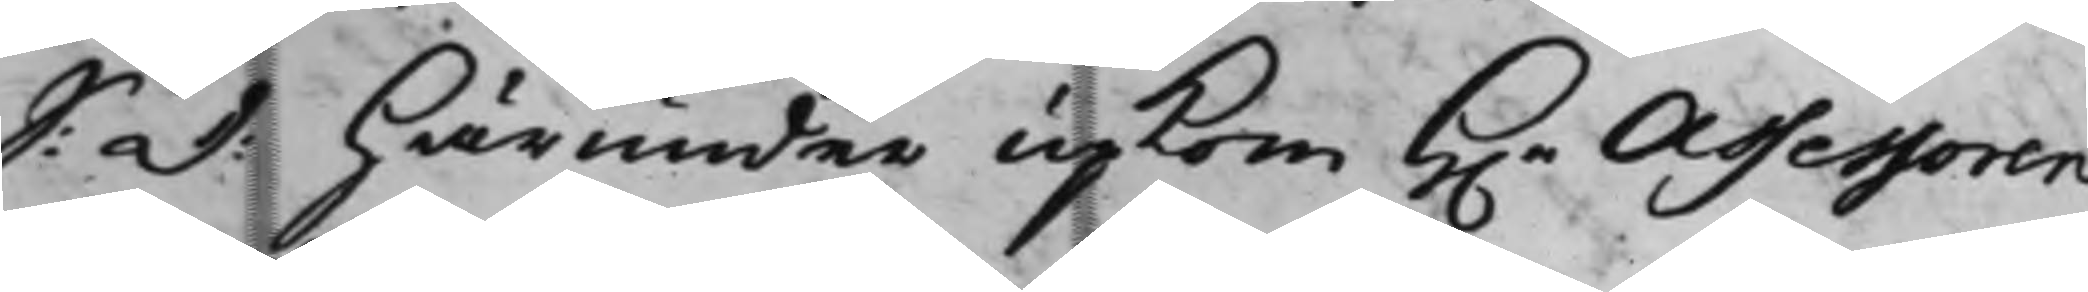S: d: Härunder upkom H.r Assessoren
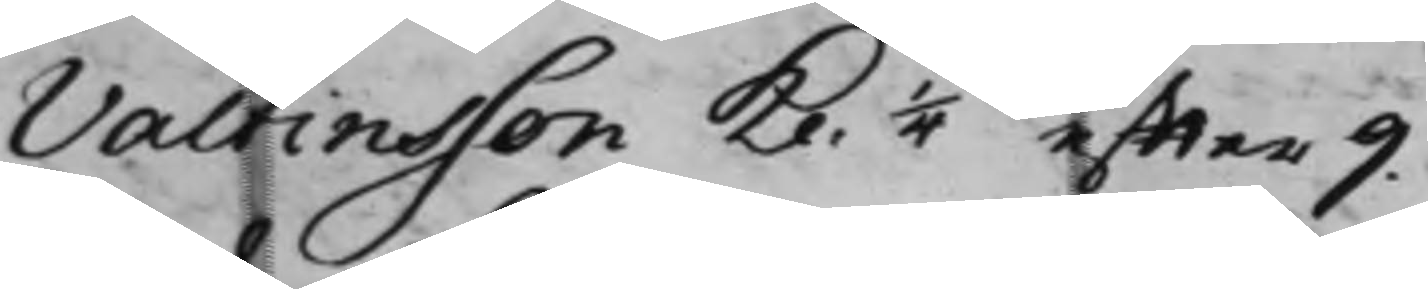Valtinsson kl. 1/4 effter 9
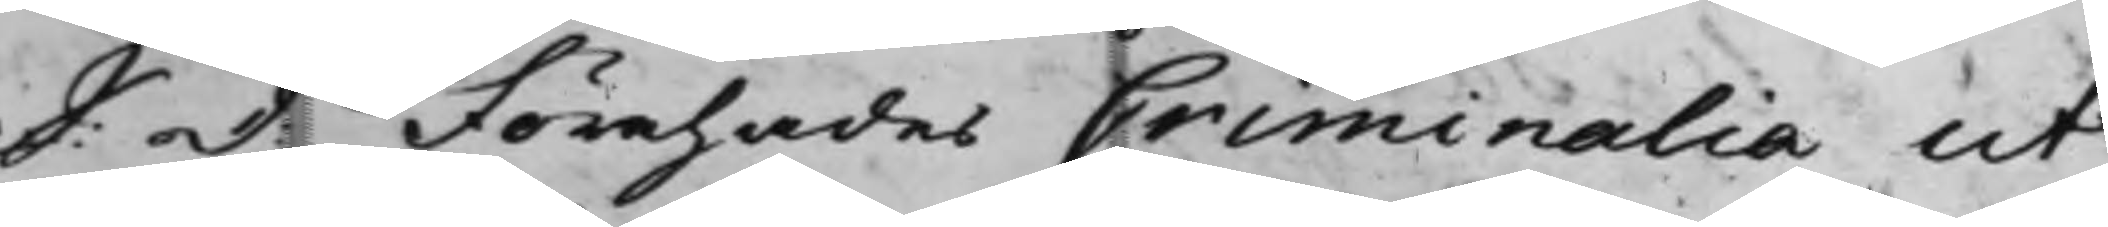S:d. Förehades Criminalia ut
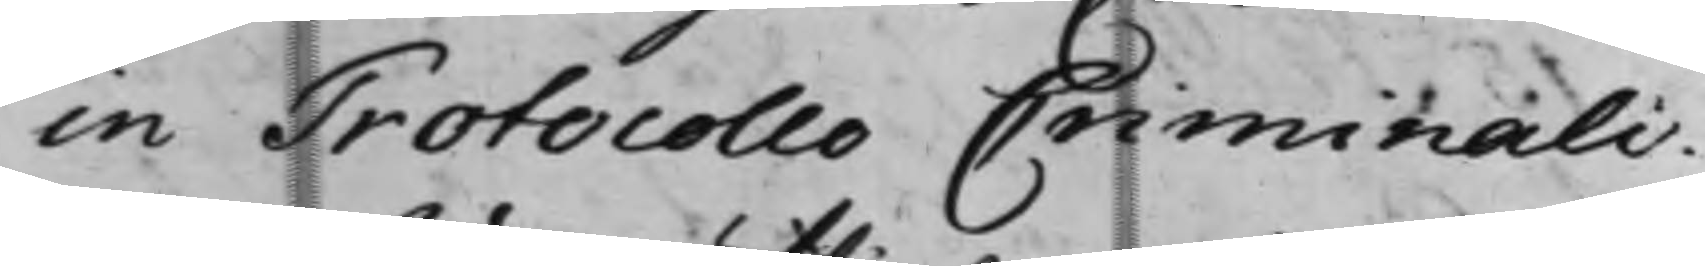in Protocollo Criminali.
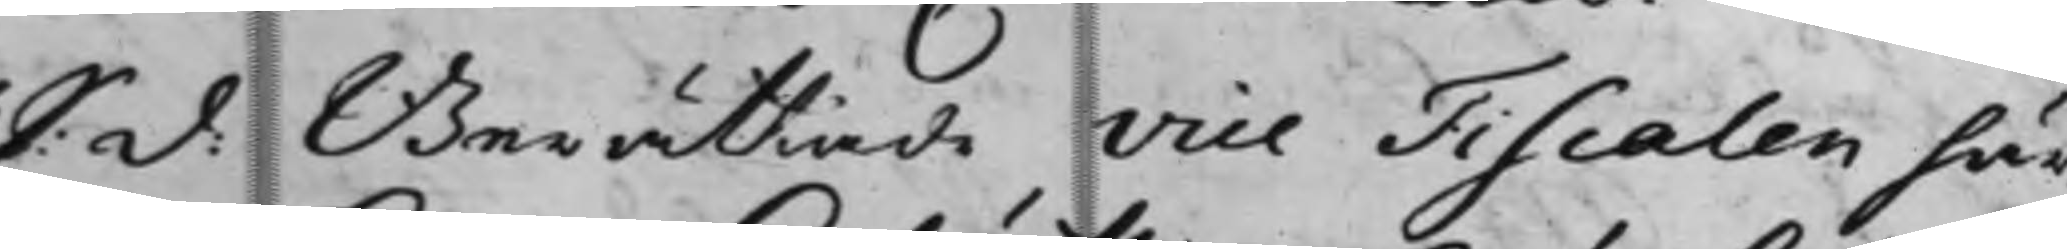S: D: Berättade Vice Fiscalen här
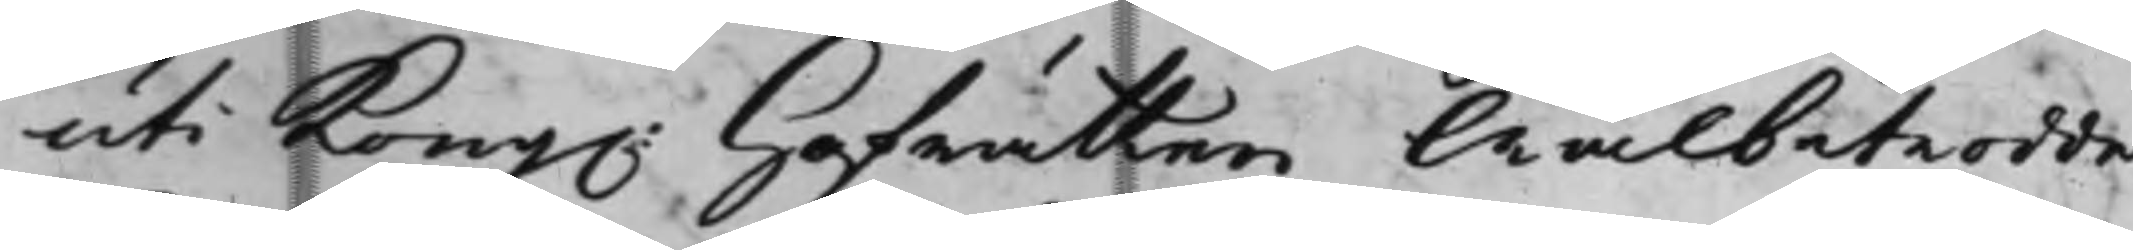uti Kong. Hofrätten Wälbetrodde
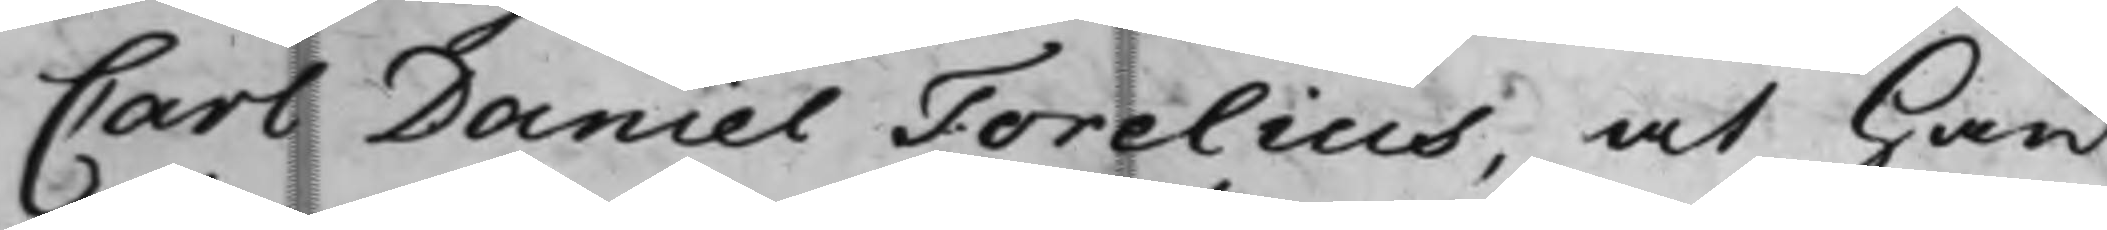Carl Daniel Forelius, at han
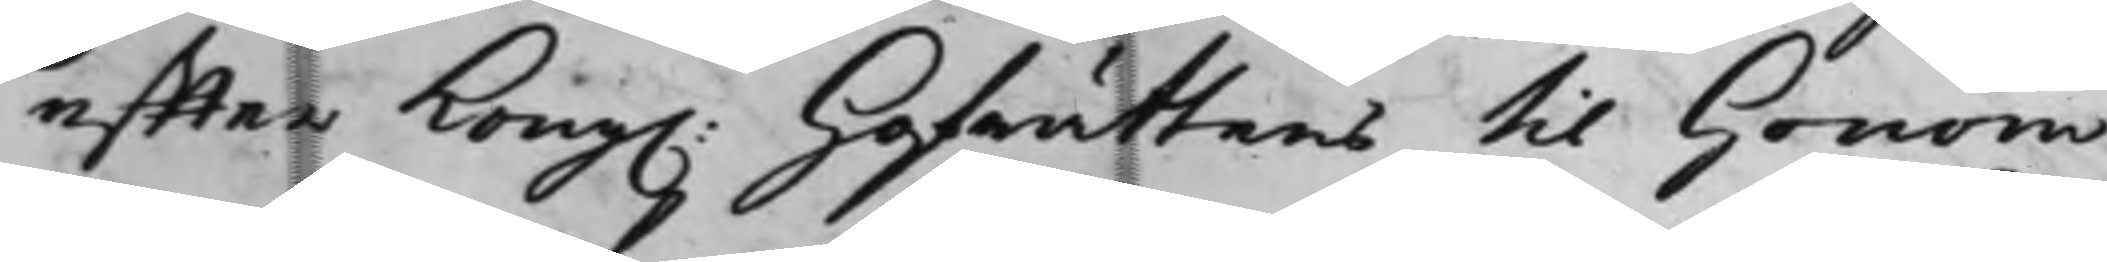effter Kong. Hofrättens till Honom
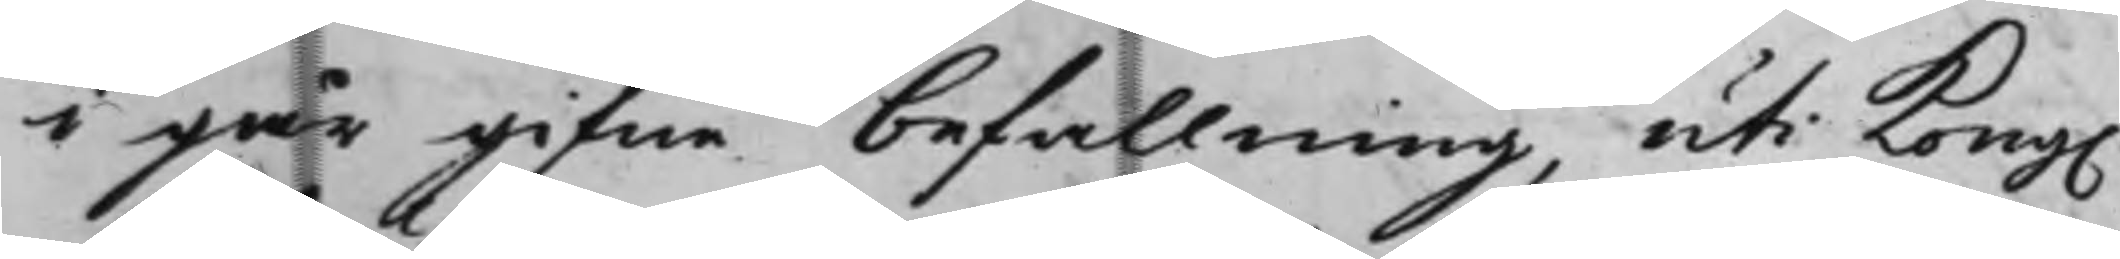i går gifne befallning, uti Kong.
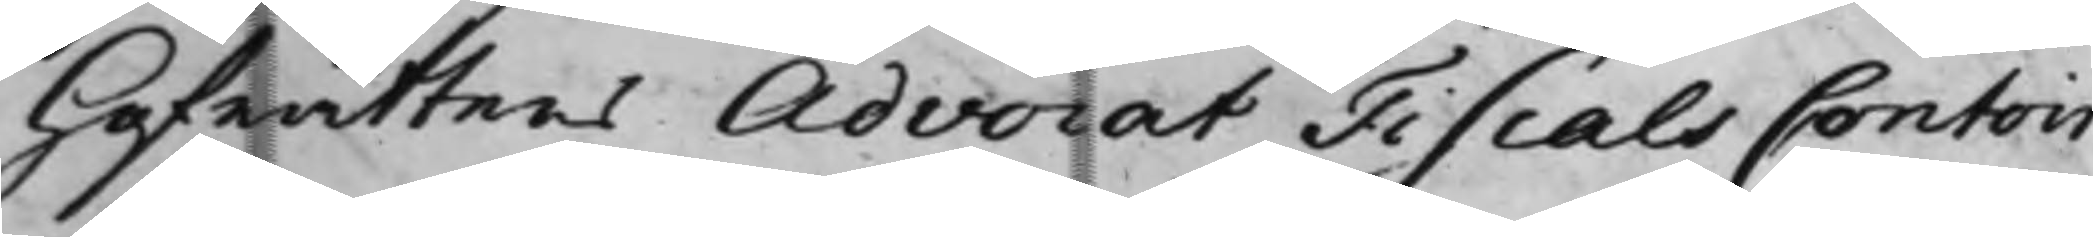Hofrättens Advocat Fiscals Contoir
